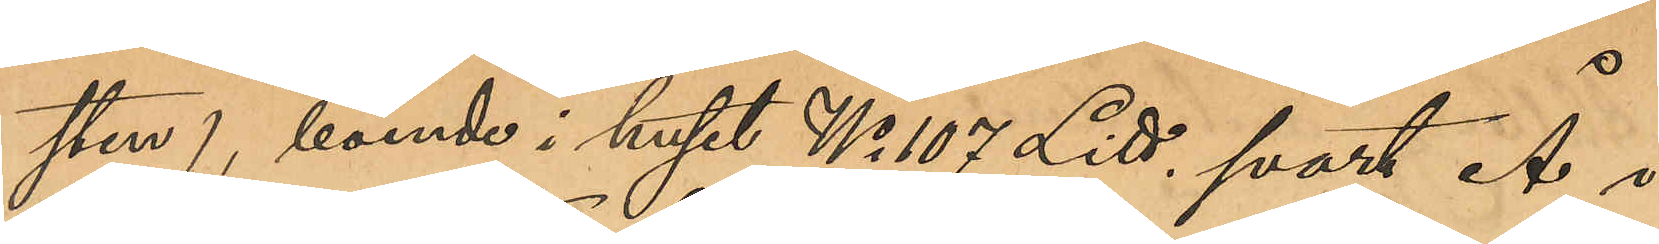sten), boende i huset N 107 Litt, svart Å i
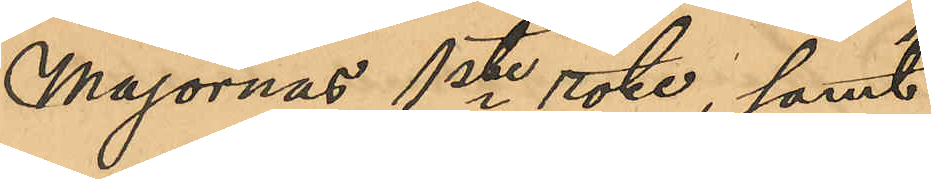Majornas 1ste rote, samt
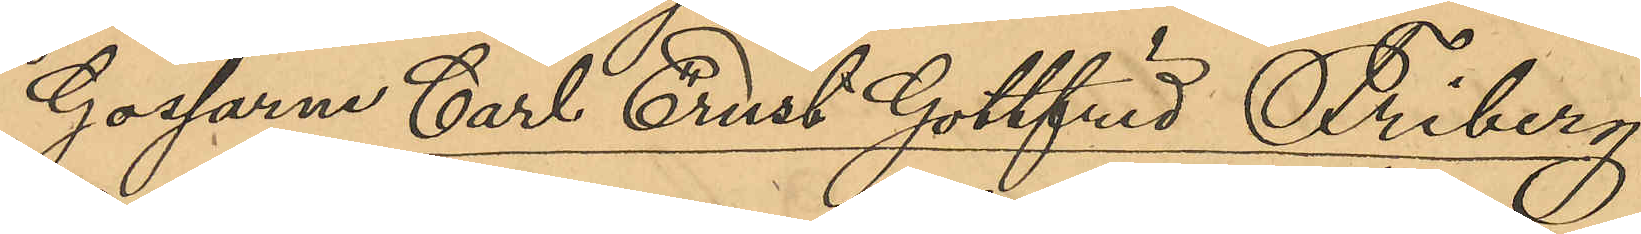Gossarne Carl Ernst Gottfrid Friberg,
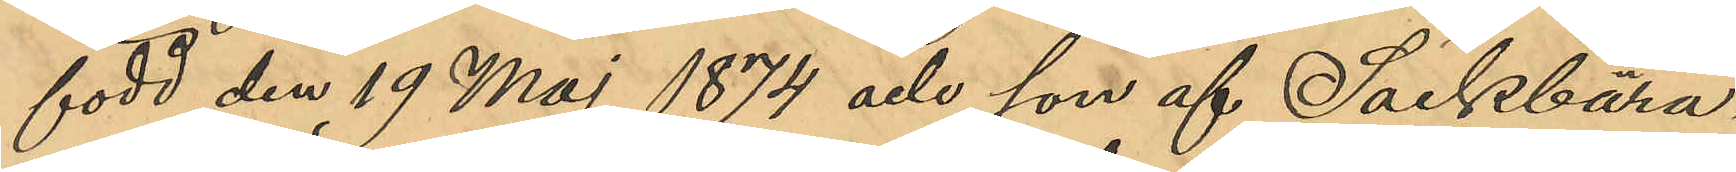född den 19 Maj 1874 och son af Säckbära¬
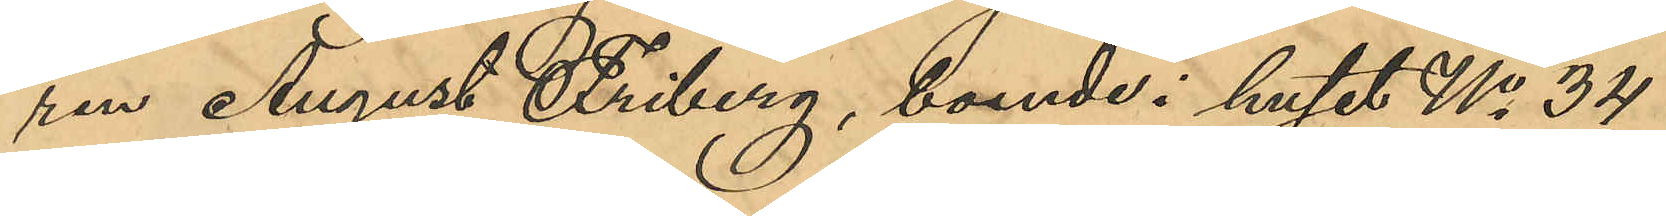ren August Friberg, boende i huset No 34
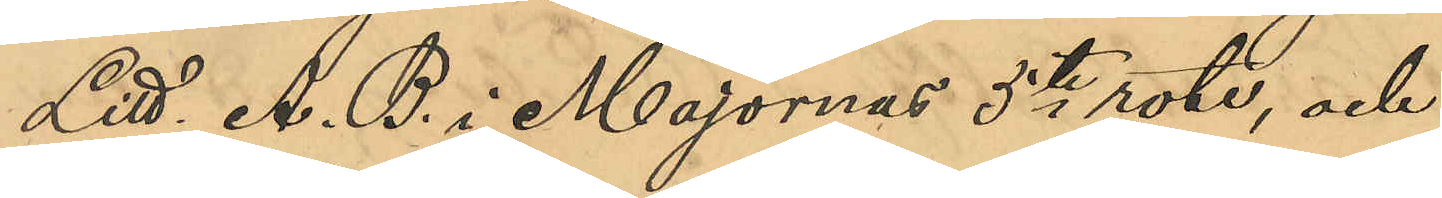Litt. A.B. i Majornas 5te rote, och
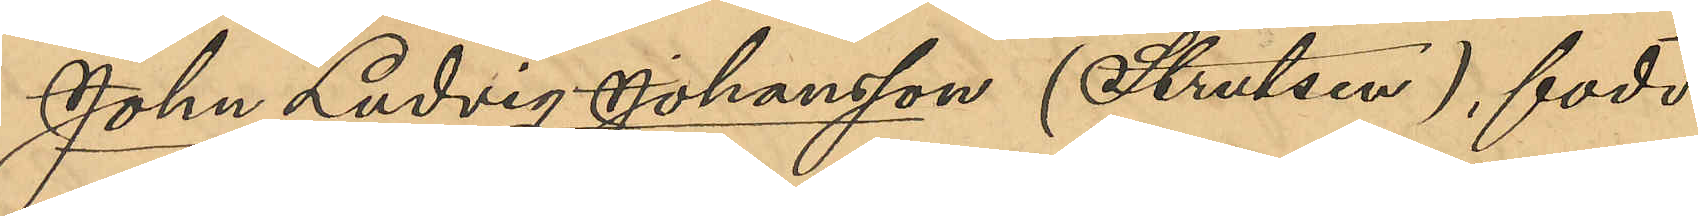Johan Ludvig Johansson (Strutsen), född
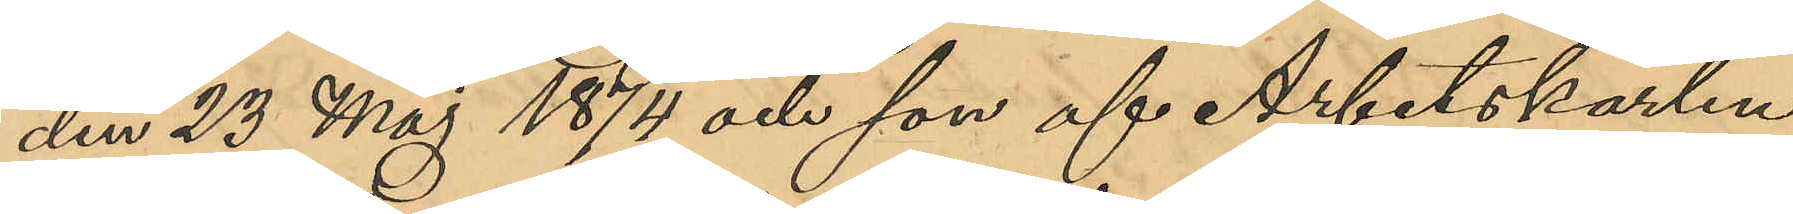den 23 Maj 1874 och son af Arbetskarlen
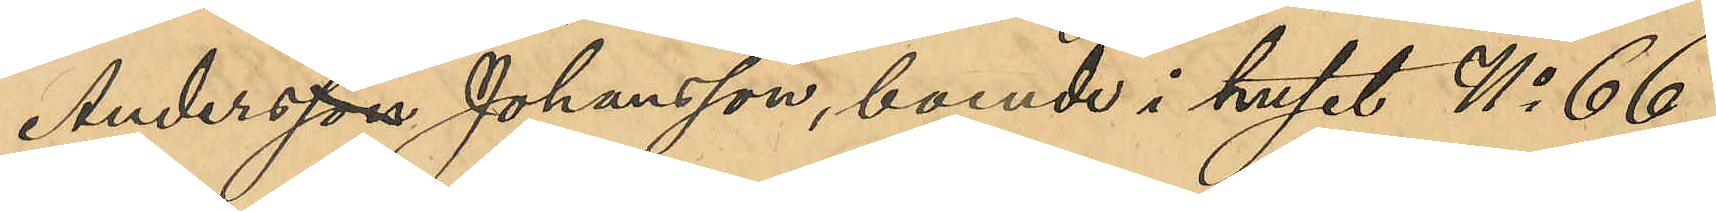Andersson Johansson, boende i huset No 66
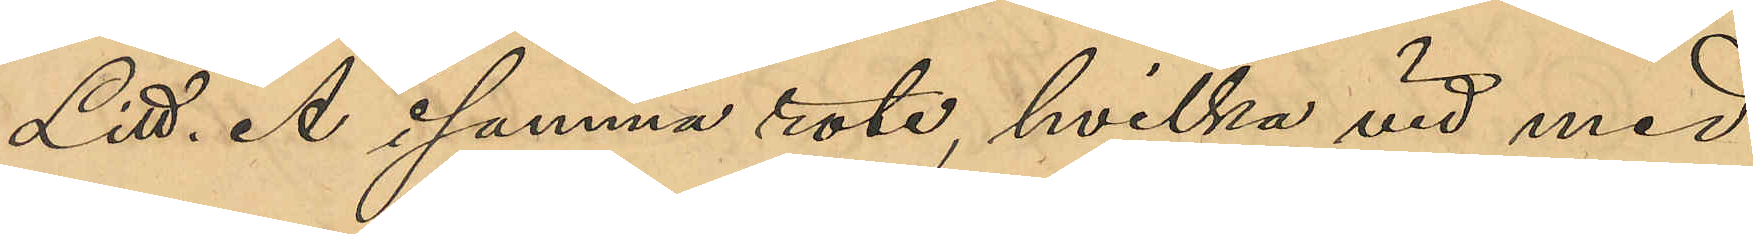Litt. A i samma rote, hvilka vid med
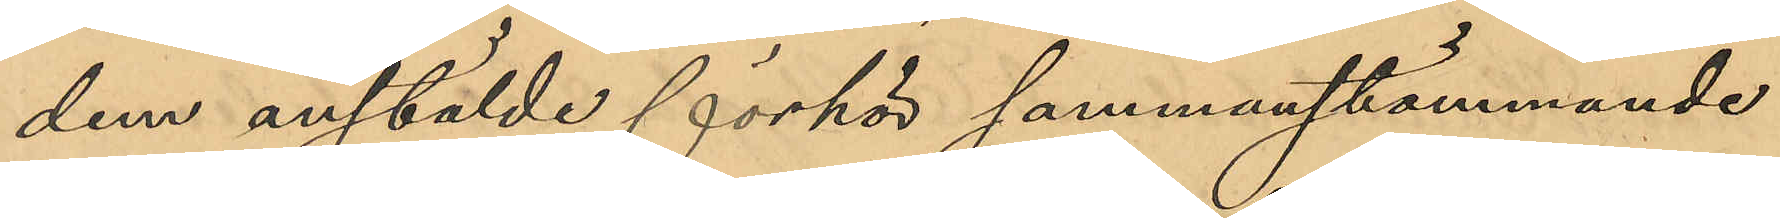dem anstälde förhör sammanstämmande
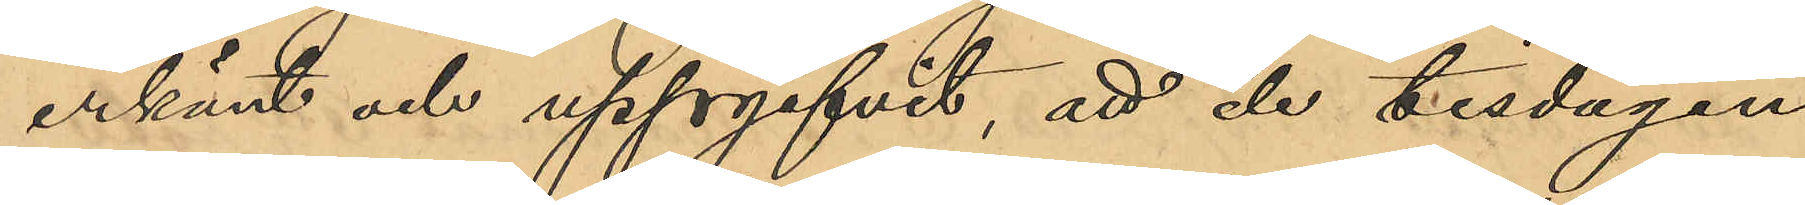erkänt och uppgifvit, att de tisdagen
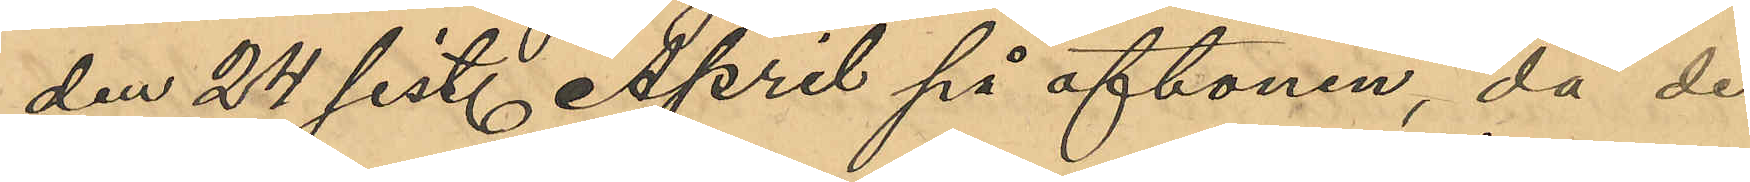den 24 sist. April på aftonen, då de
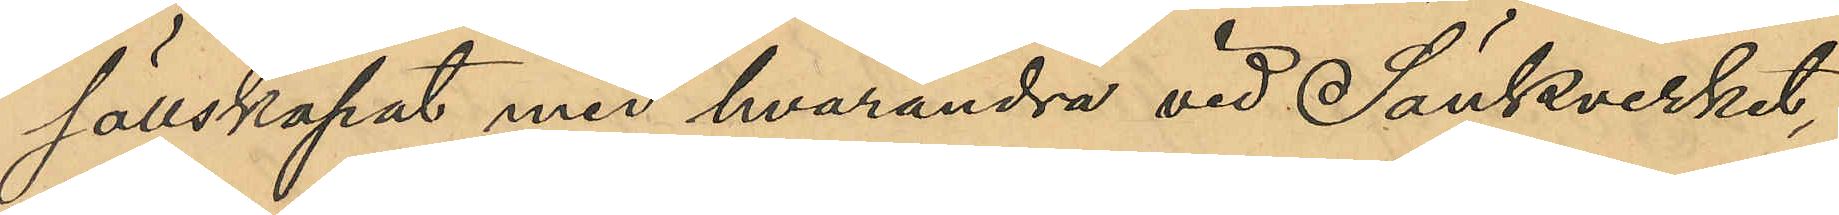sällskapat med hvarandra vid Sänkverket,
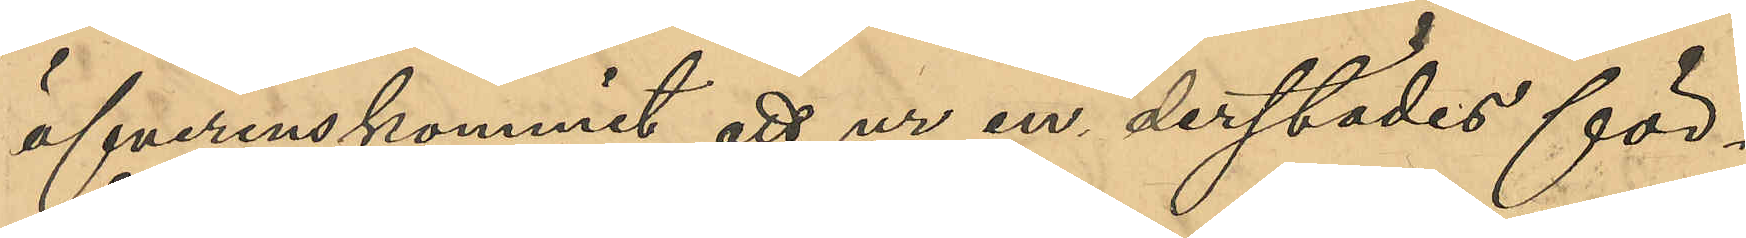öfverenskommit att ur en derstädes för¬
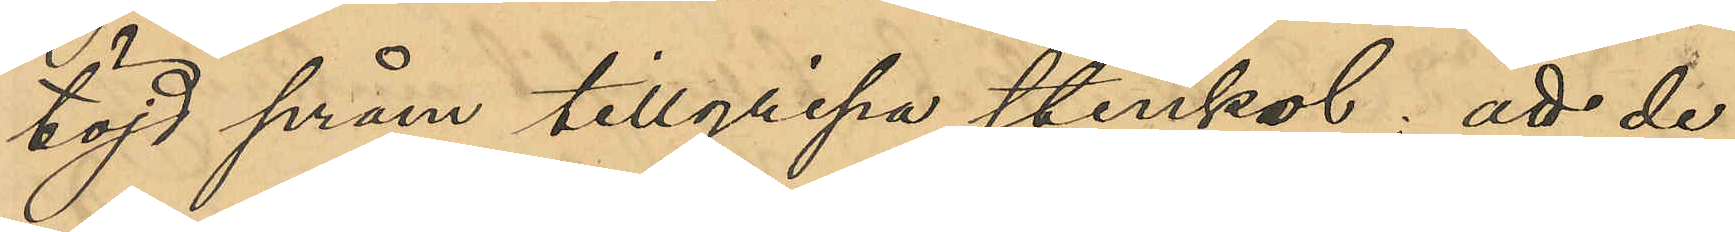töjd pråm tillgripna stenkol; att de
